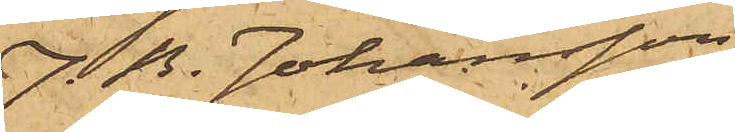J. B. Johansson
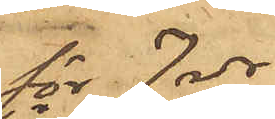för 7 rdr,
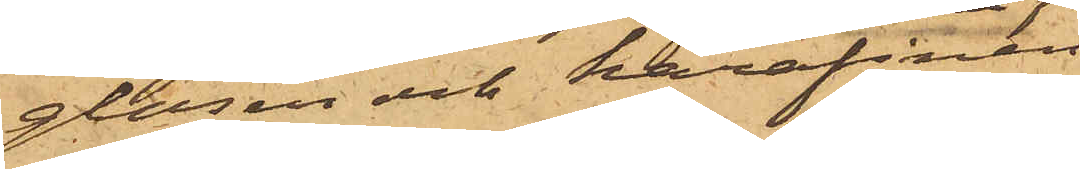glasen och karafinen
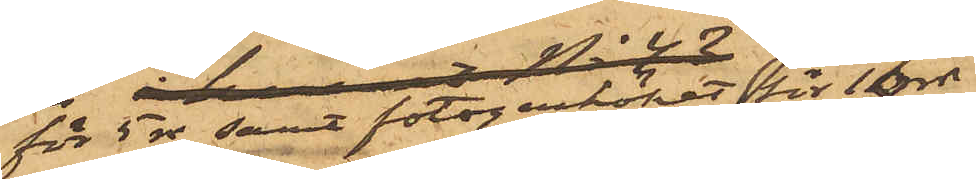för 5 rdr samt fotogenköket för 10 rdr
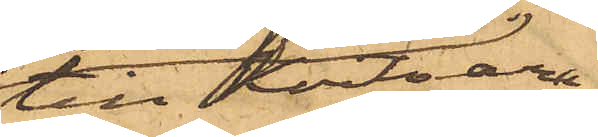till Hvitvaru¬
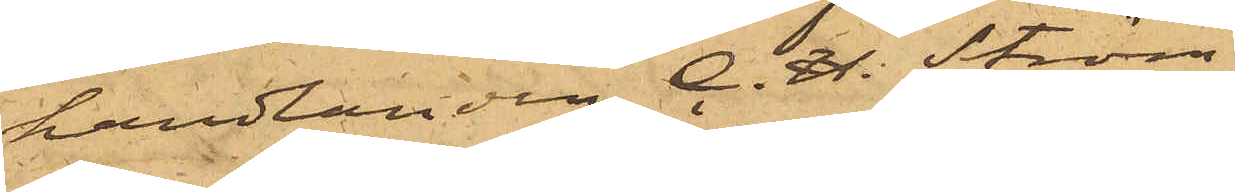handlanden C. H. Ström,
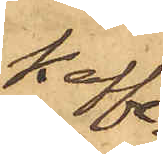kaffe¬
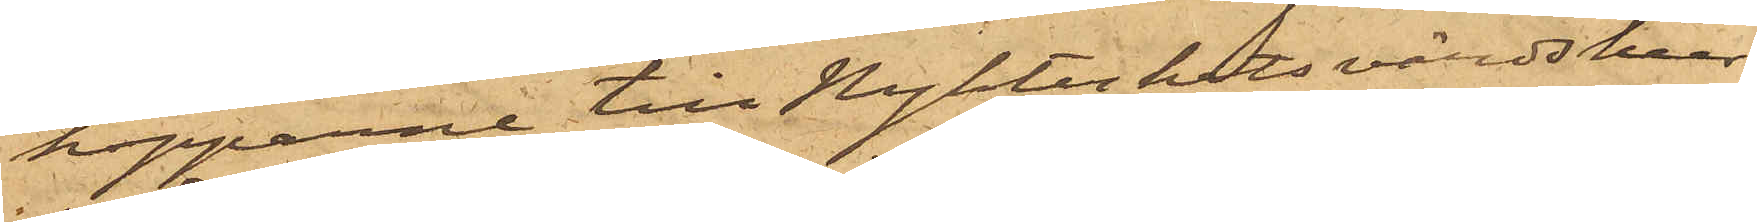kopparne till Nykterhetsvärdshus¬
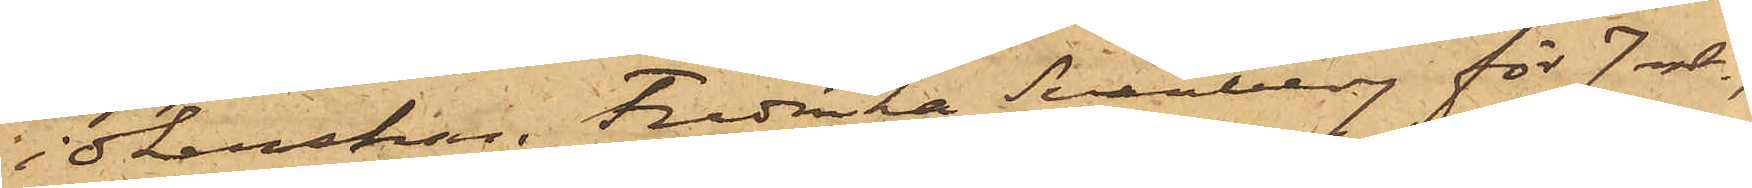idkerskan Fredrika Svanberg för 7 rdr,
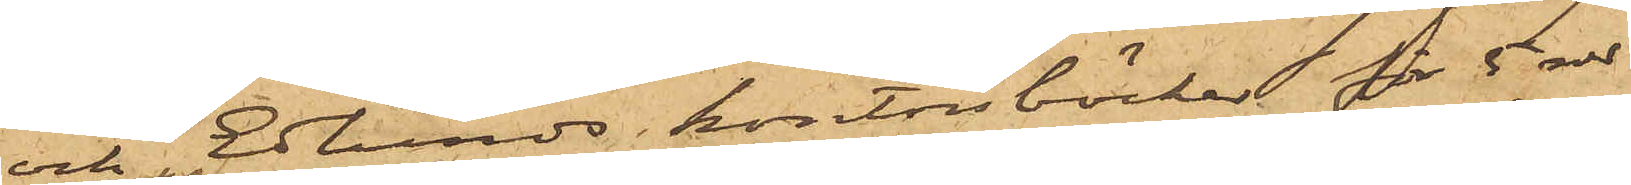och Eklunds kontorsböcker för 5 rdr
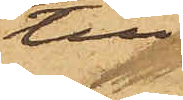till
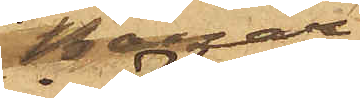bazar¬
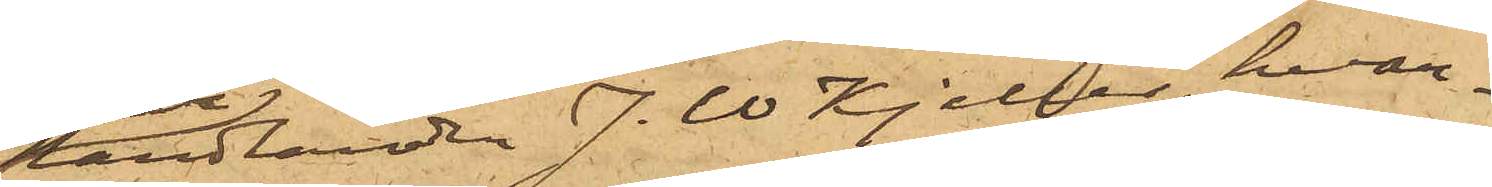handlanden J. W Kjeller, hvar¬
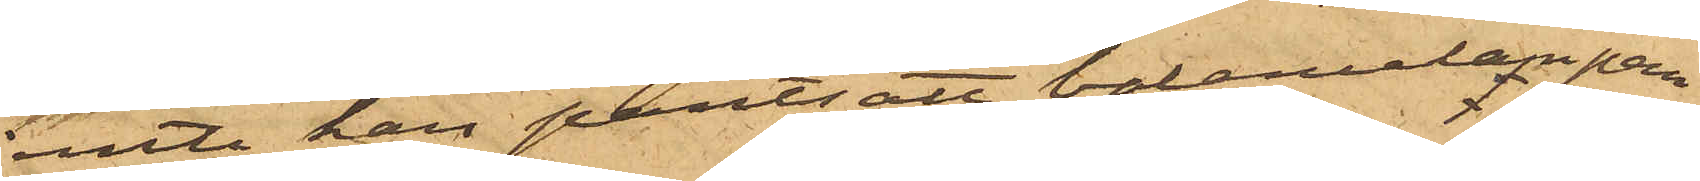remte han pantsatt balancelampan
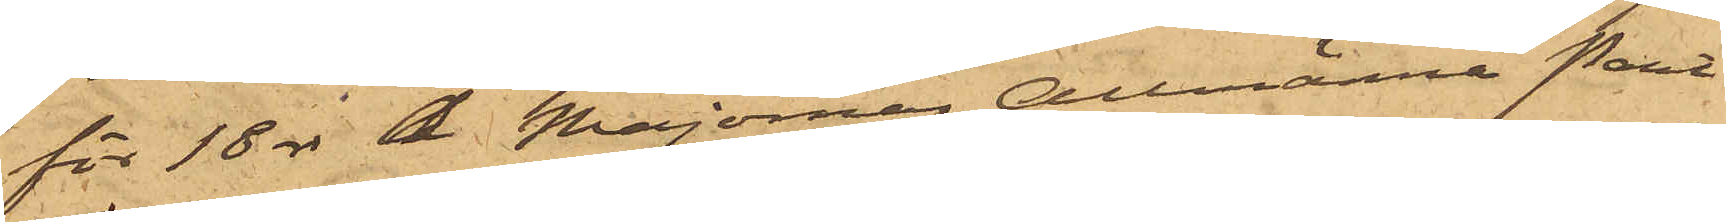för 18 rdr å Majornas Allmänna Pant¬
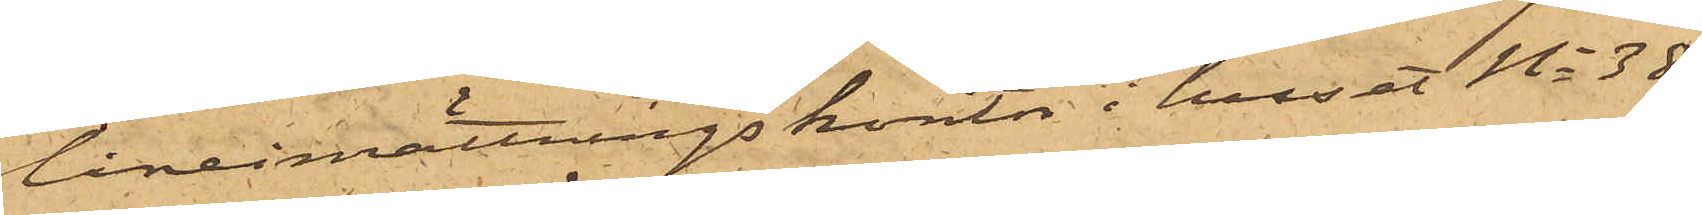låneinrättnings kontor i huset No 38
